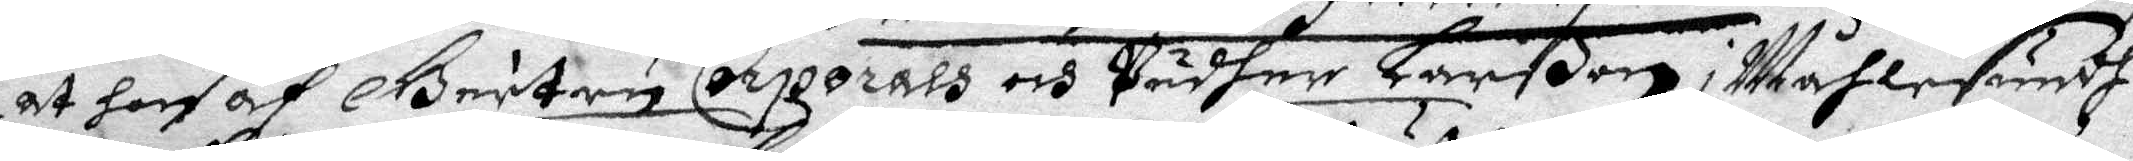at hon af Geutru Corporals och Pädher Larßons i Måhlesundh
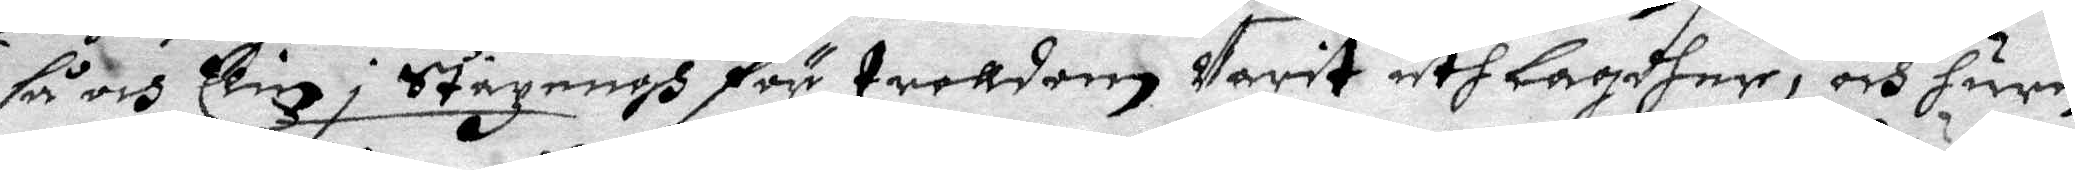så och Elin i Stazängh för troldom Varit uthlagdher, och huru
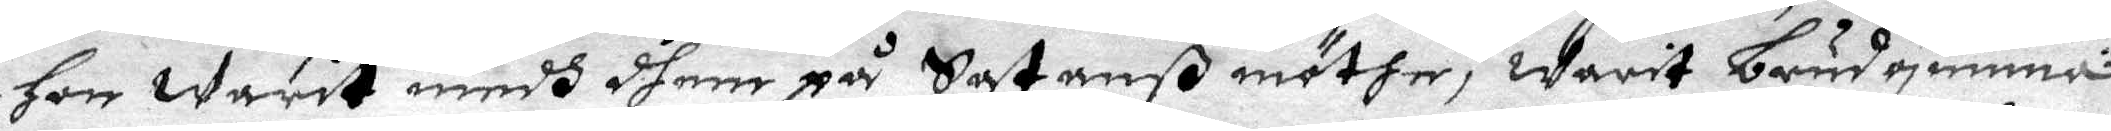hon warit medh dhem på Satanß möthe, warit brudqwinna
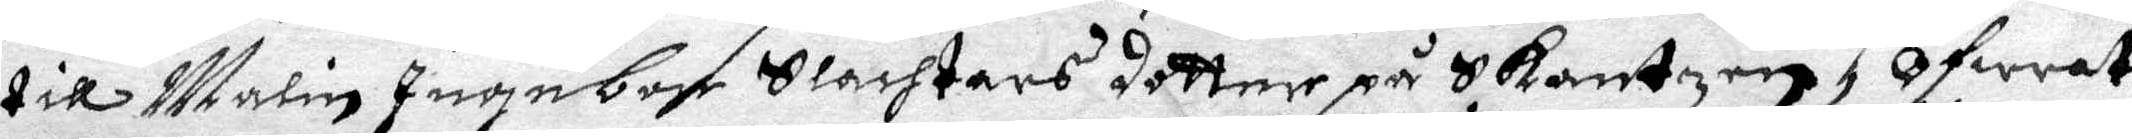till Malin Ingebor Slachtars dotter på Skantzen, Ofwrat
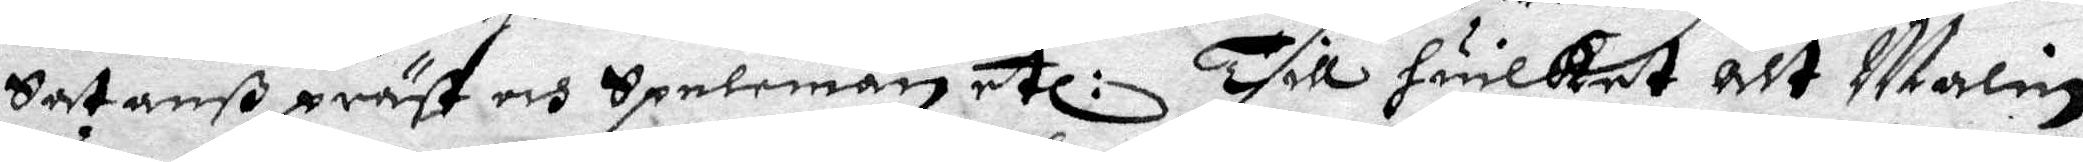Satanß präst och Spelemästetl: Till huilket alt Malin
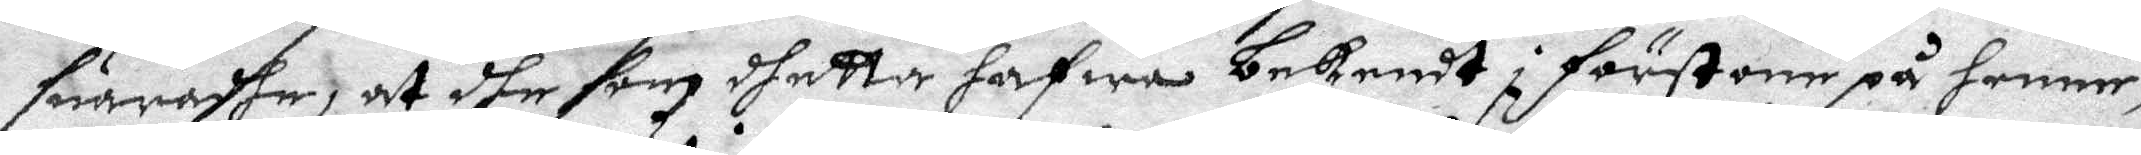suaradhe, at dhe som dhetta hafwa bekendt i förstone på henne,
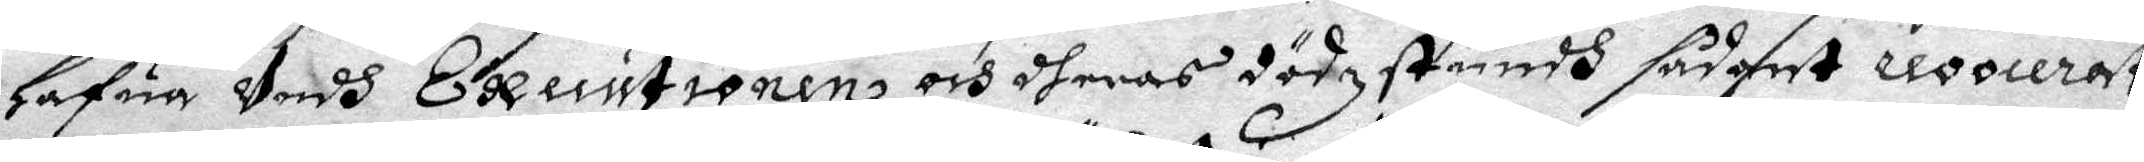hafua Vedh Executionen och theras dödz stundh sådant reoocerat
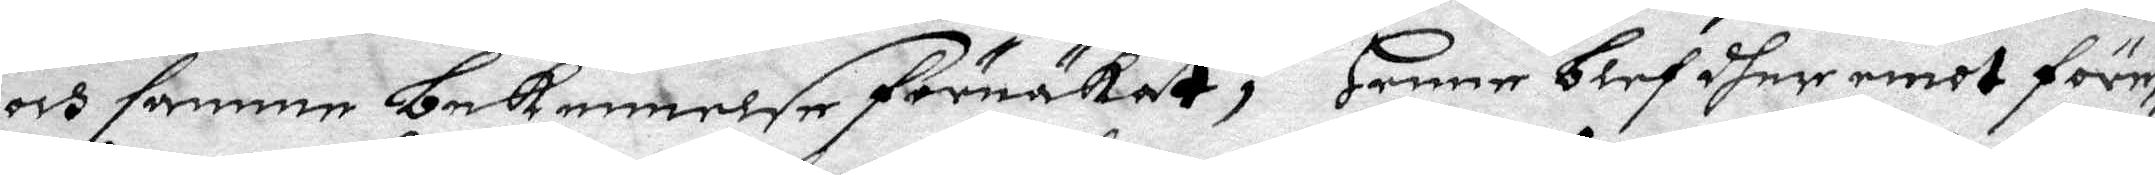och samma bekennelse förnäkat; henne blef dher emot före¬
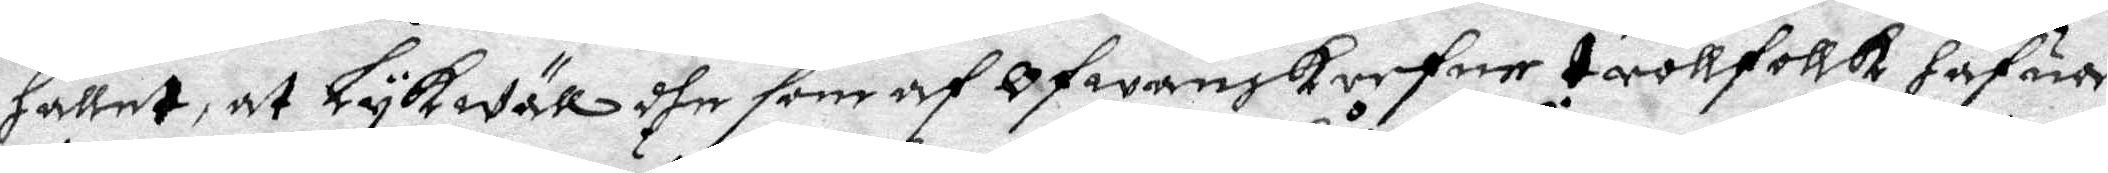hållet at Lykwäll dhe som af Ofwanskrefne trollfollk hafua
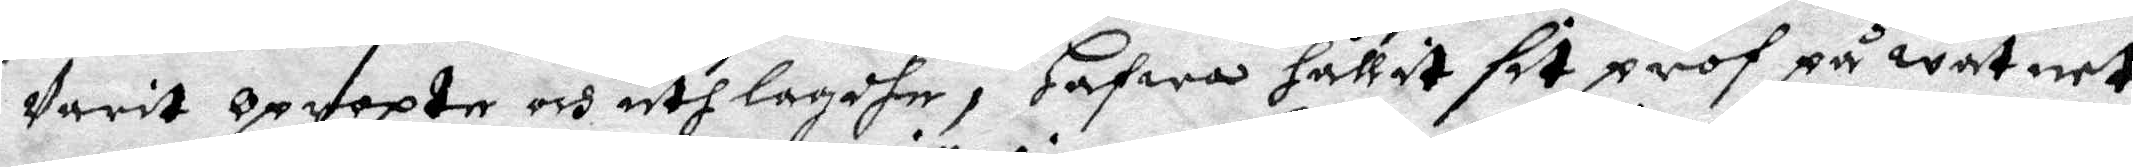Varit opropte och uthlagdhe, Hafwa hållit sit prof på watnet,
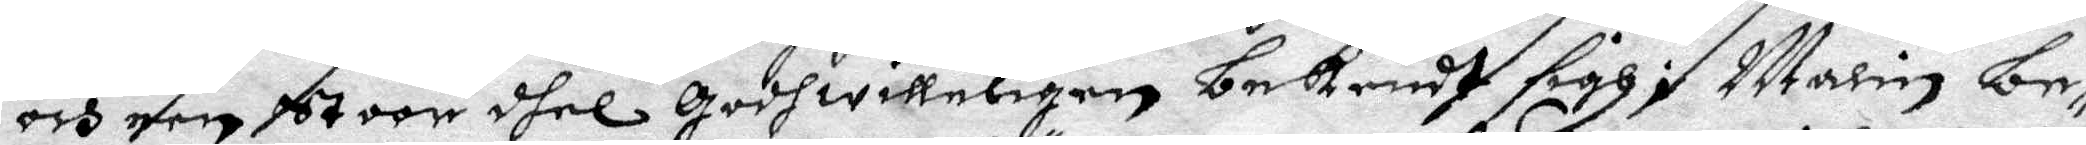och een stoor dhel godwilleligen bekendt sigh; malin be¬
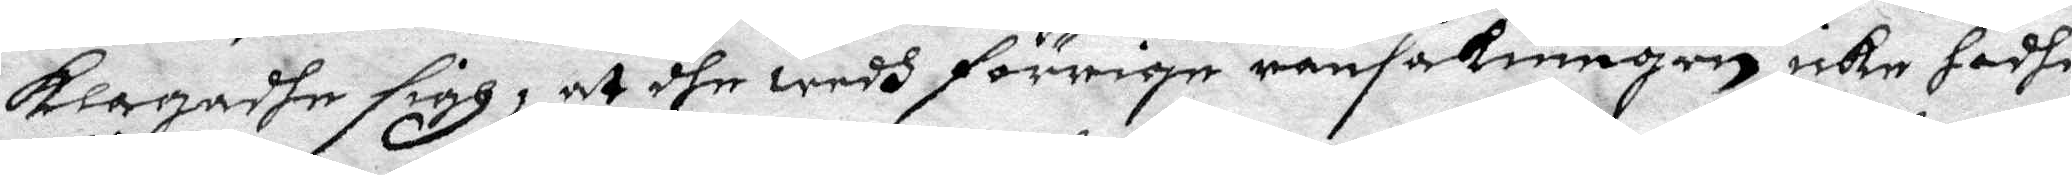klagadhe sigh, at dhe wedh förrige ransakningen icke hadhe
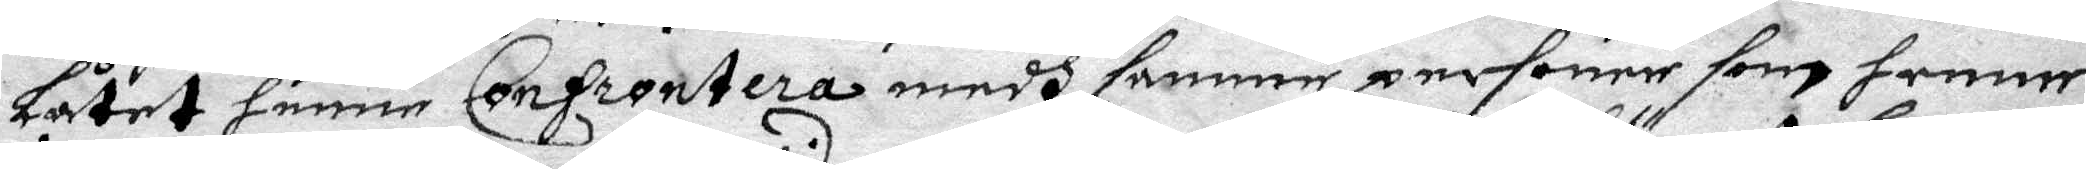låtet henne Confrontera medh samme personer som henne
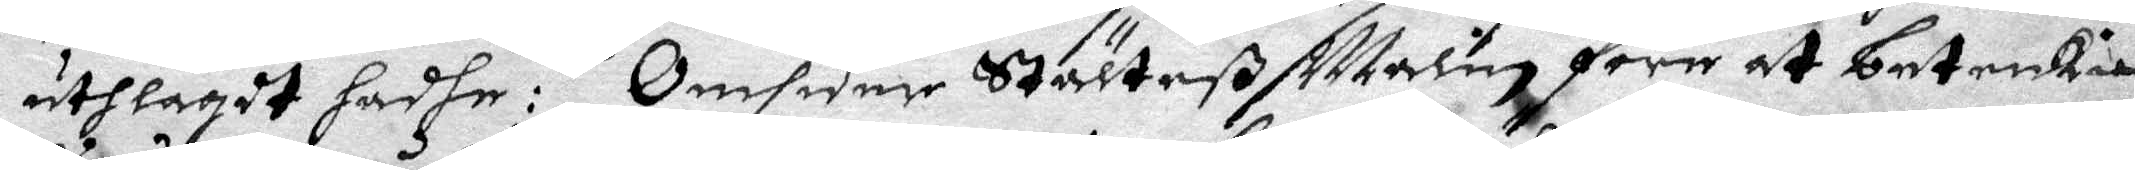uthlagdt hadhe: Omsider Ställteß Malin före at betenkia
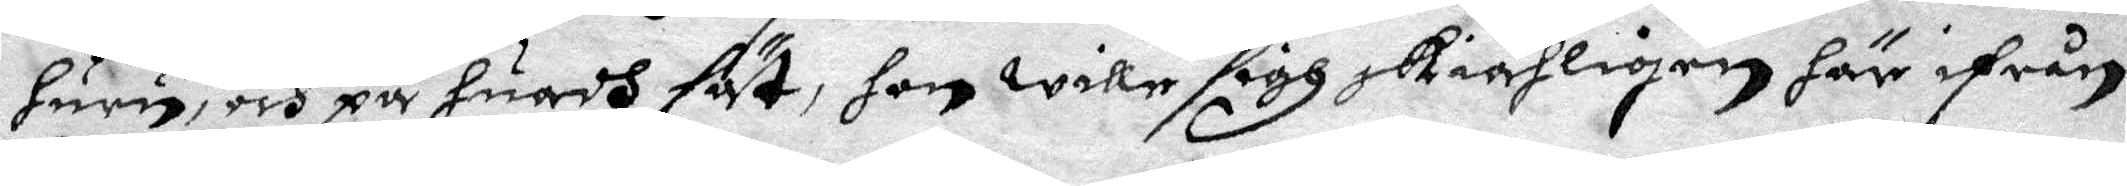huru, och på huadh sät, hon wille sigh skiähligen hät ifrån
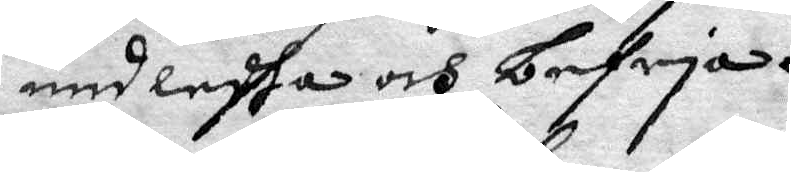undledha och befria.
